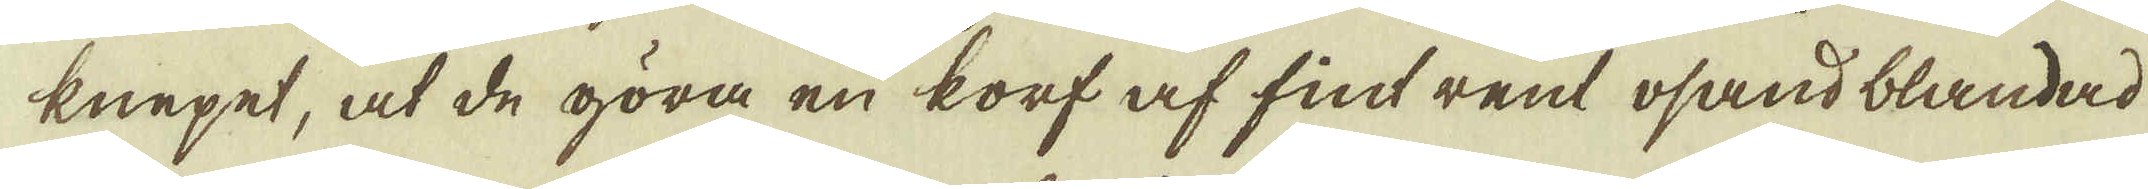knepet, at de göra en korf af fint rent osand blandad
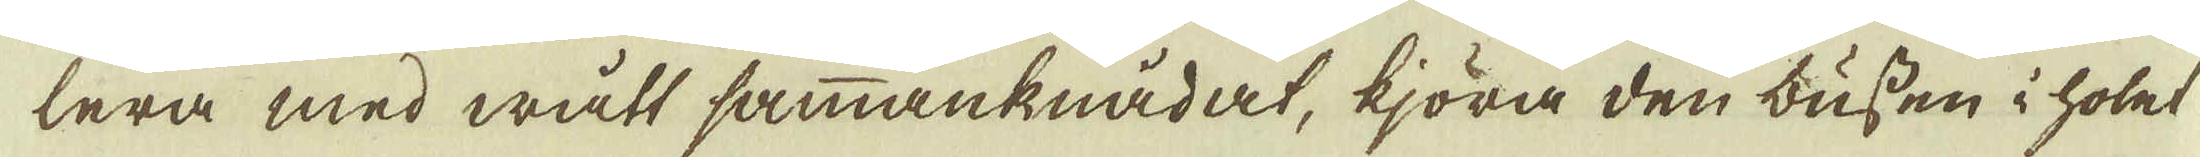lera med wått sammanknådat, kjöra den bussen i holet
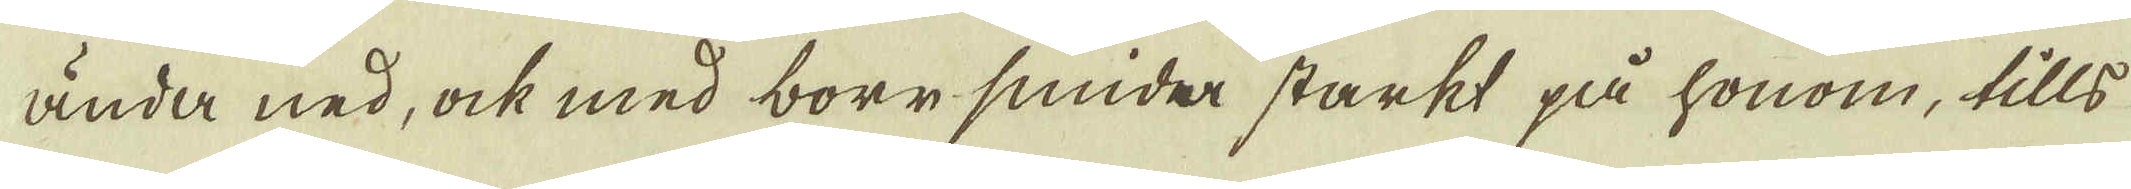ända ned, ock med borrsnida starkt på honom, tills
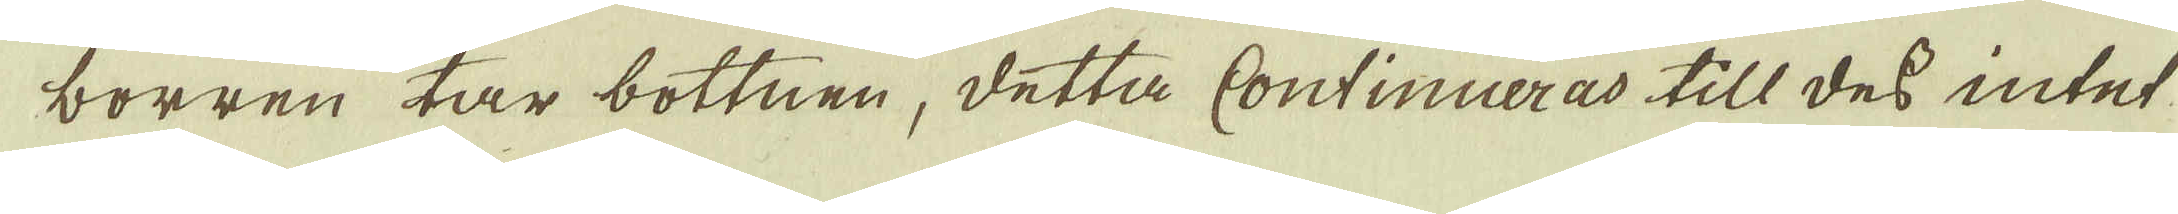borren tar bottnen, detta Continueras till dess intet
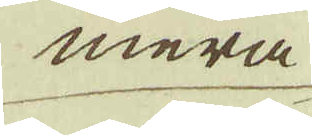mera
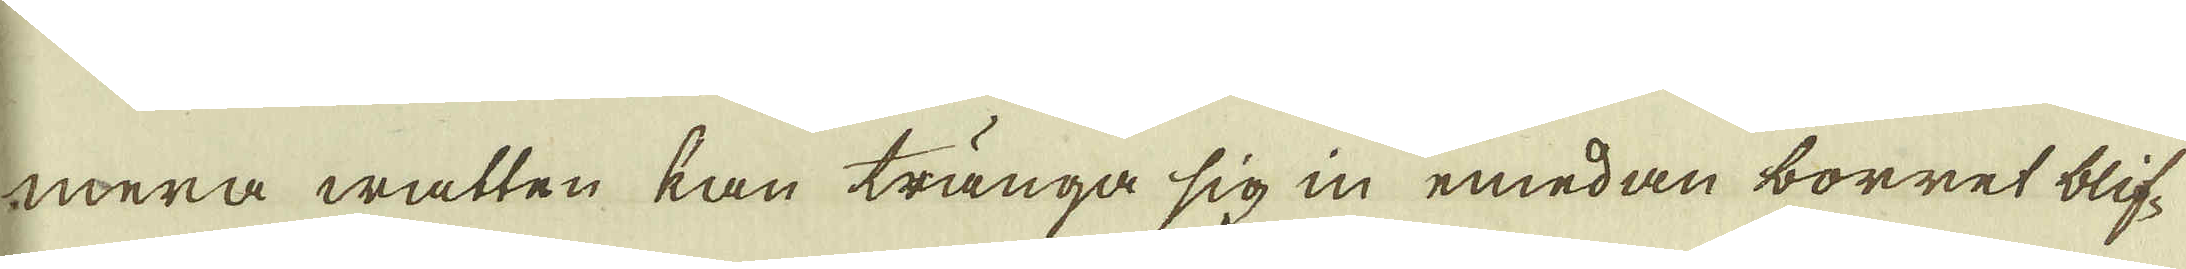mera watten kan tränga sig in emedan borret blif-
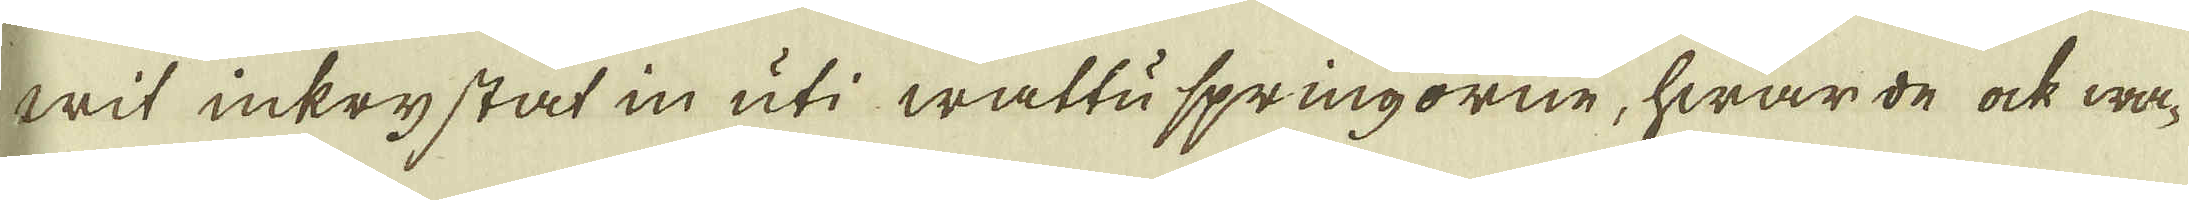wit inkrystat in uti wattu springorne, hwar de ock wa-
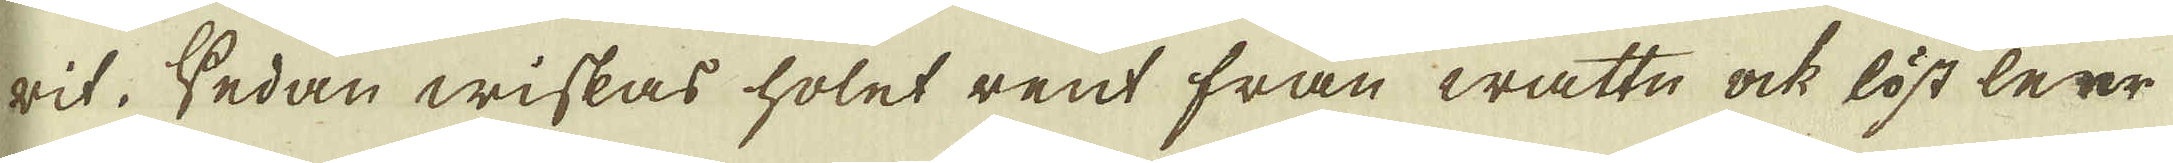rit. Sedan wiskas holet rent från wattn ock löst leer
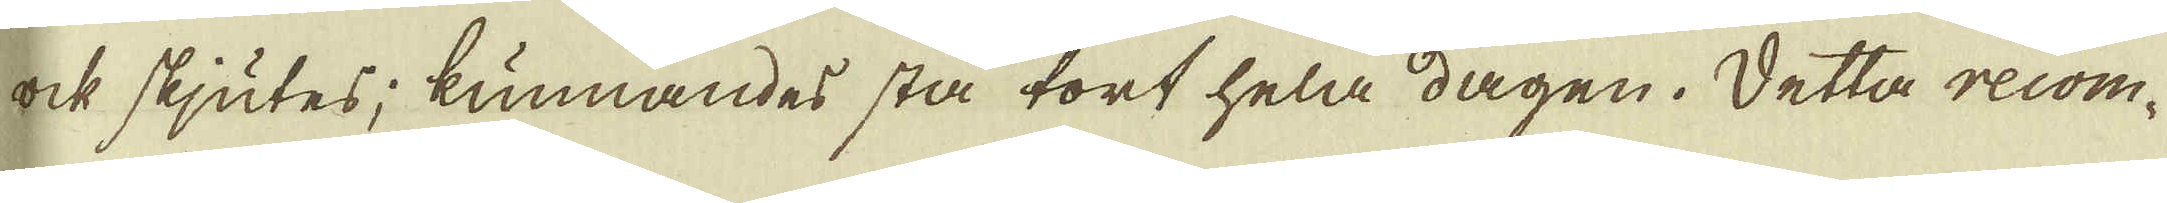ock skjutes; kunnandes stå tort hela dagen. Detta recom-
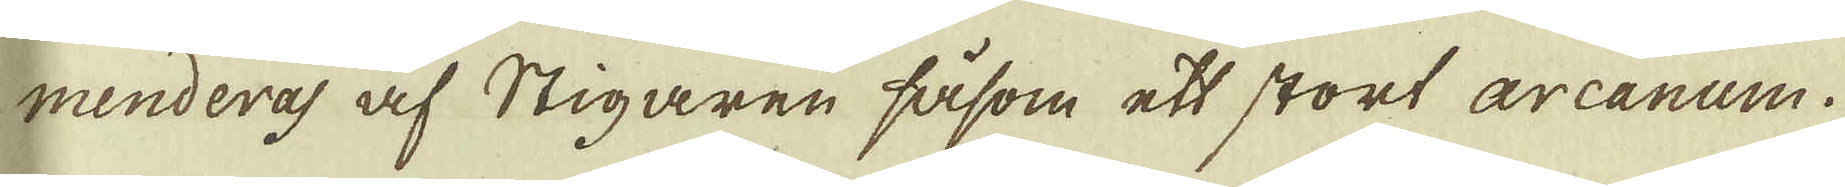menderas af Stigaren såsom ett stort arcanum.
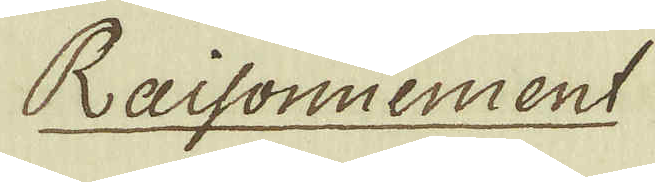Raisonnement
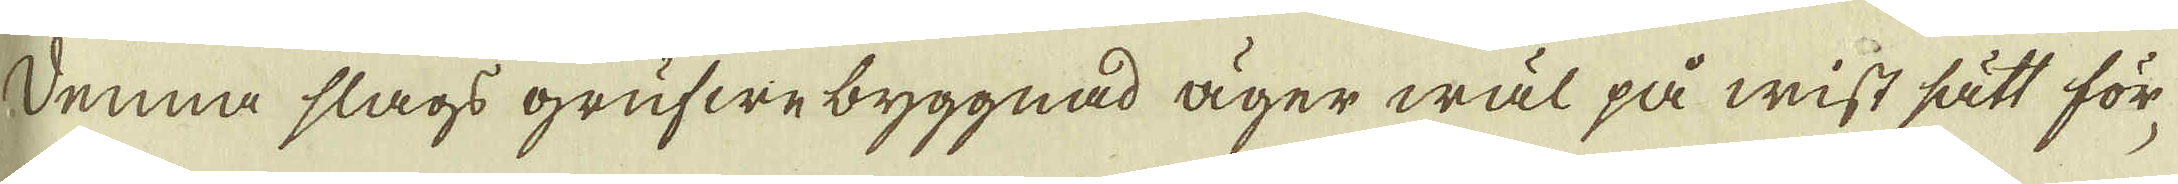Denna slags grufwe byggnad äger wäl på wist sätt för-
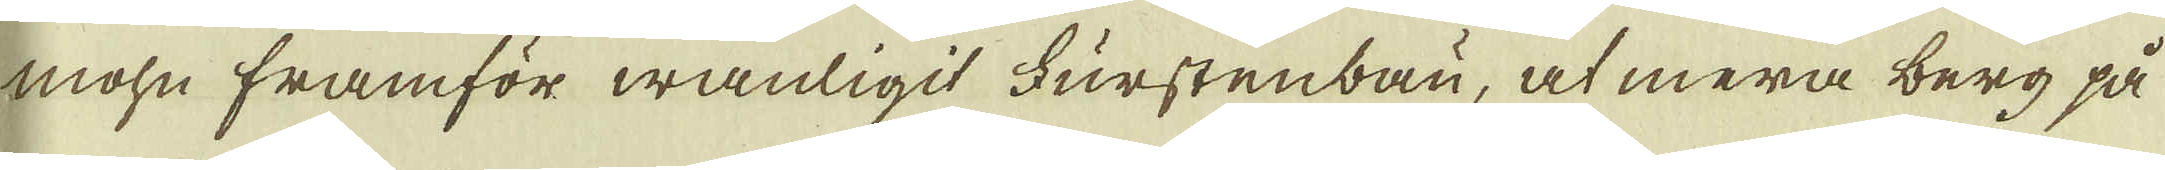mohn framför wanligit Furstenbau, at mera berg på
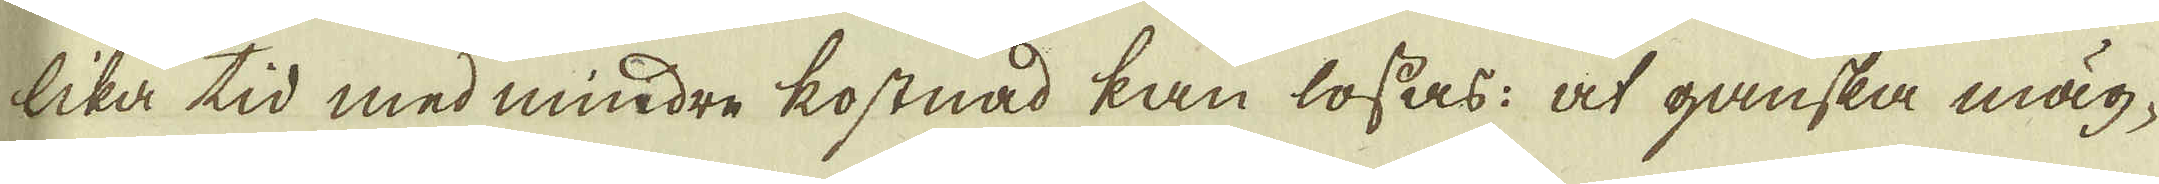lika tid med mindre kostnad kan lossas: at ganska mäg-
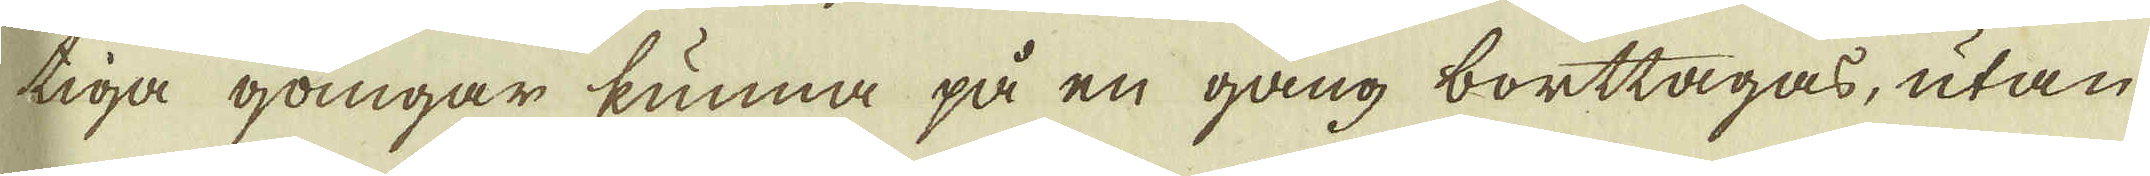tiga gångar kunna på en gång borttagas, utan
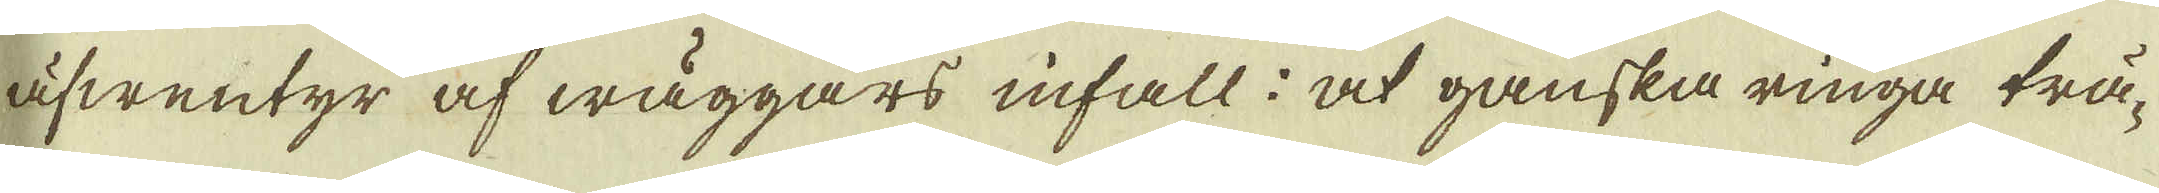äfwentyr af wäggars infall: at ganska ringa trä-
